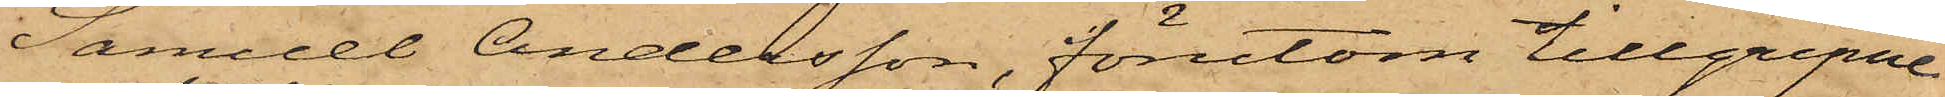Samuel Andersson, förutom tillgripne
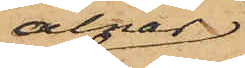alnar
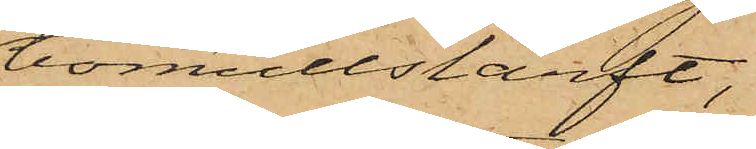bomullslärft,
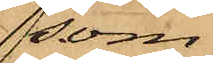som
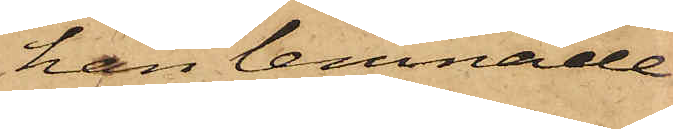han lemnade
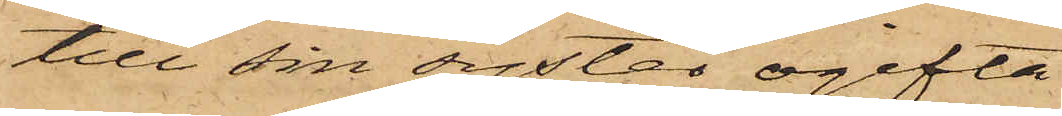till sin syster ogifta
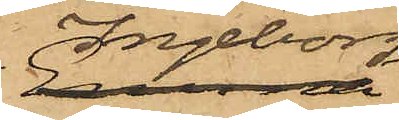Ingeborg
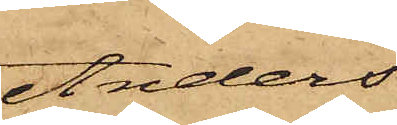Anders¬
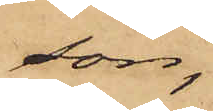son
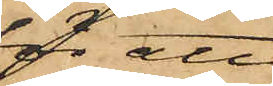för att
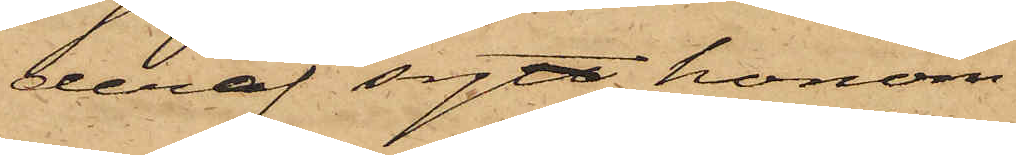deraf sytt honom
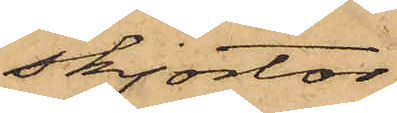skjortor;
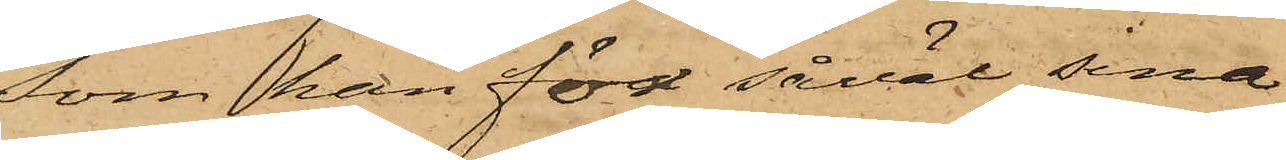som han för såväl sina
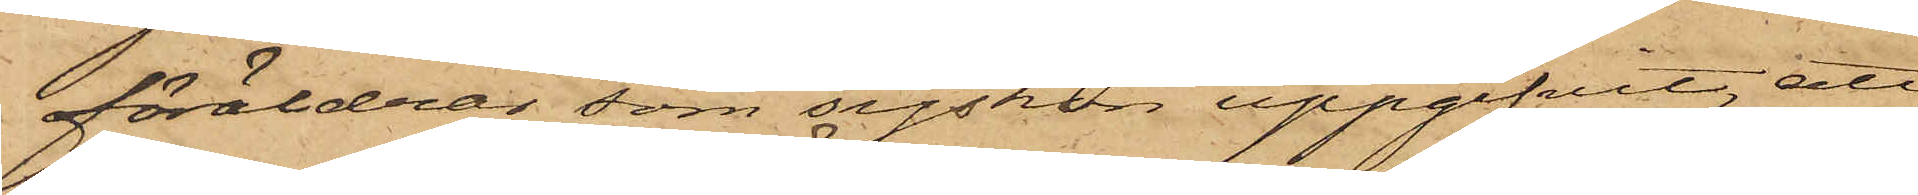föräldrar som syskon uppgifvit, att
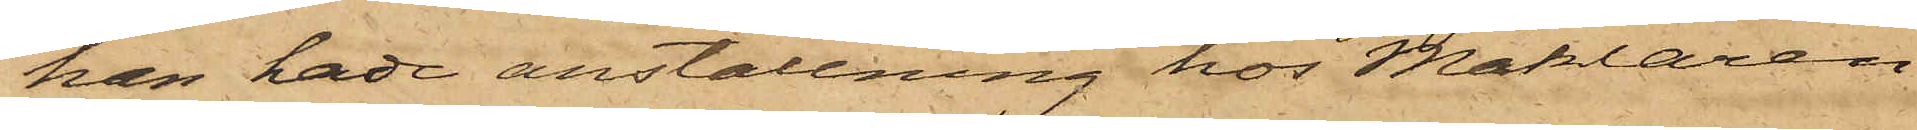han hade anställning hos Mäklaren
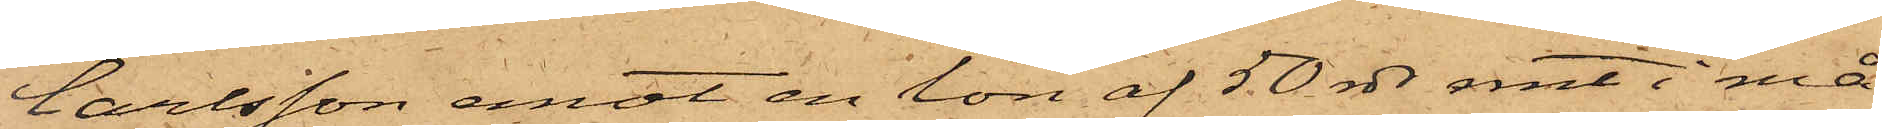Carlsson emot en lön af 50 rdr rmt i må¬
